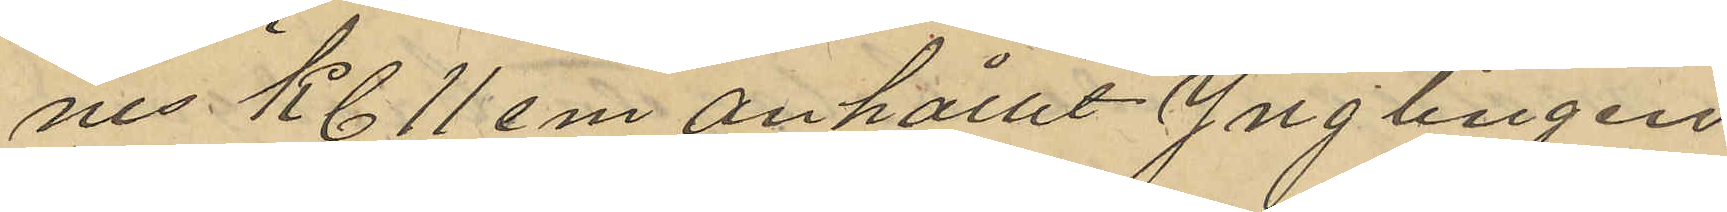nes Kl 11 em anhållit Ynglingen
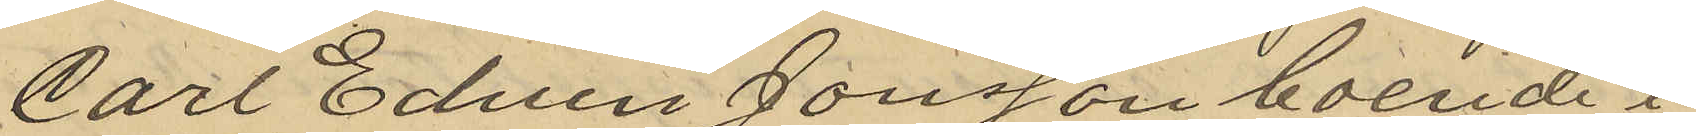Carl Edvin Jonsson boende i
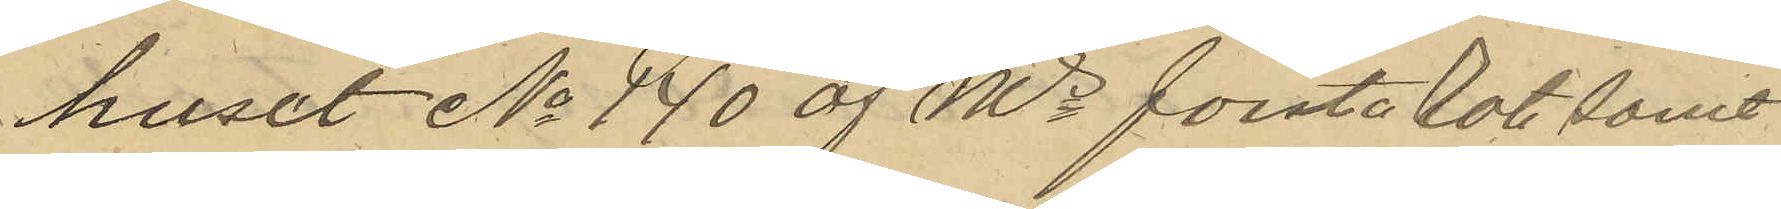huset No 140 af Ms första Rote samt
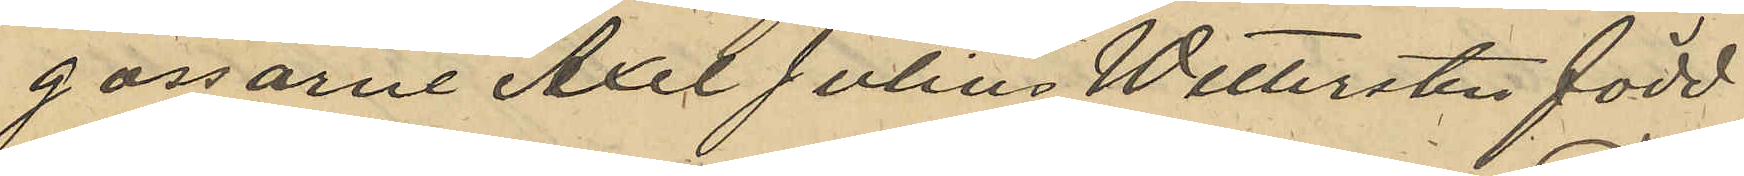gossarne Axel Julius Pettersten född
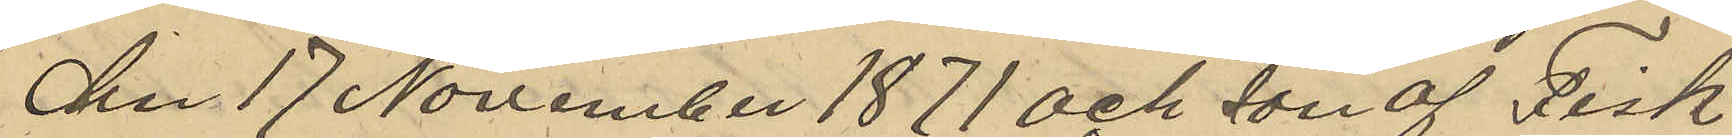den 17 November 1871 och son af Fisk
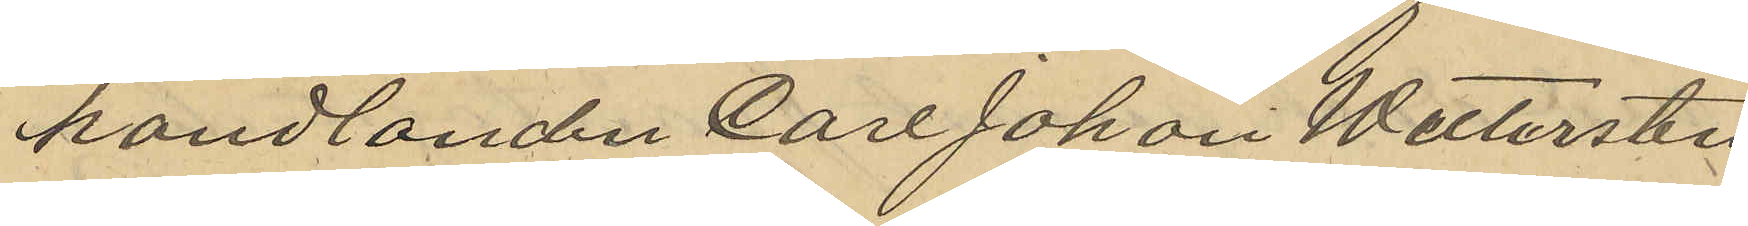handlanden Carl Johan Wettersten
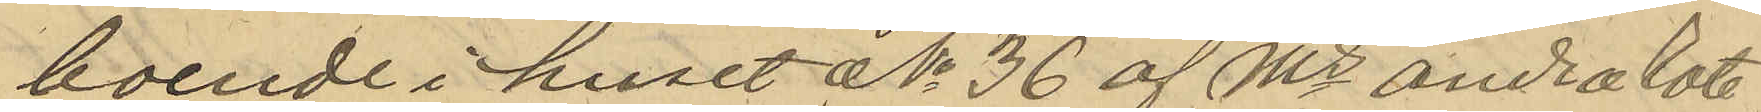boende i huset No 36 af Ms andra Rote
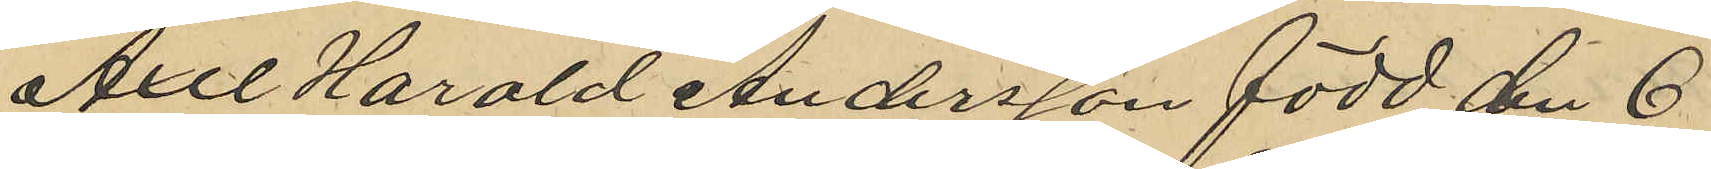Axel Harald Andersson född den 6
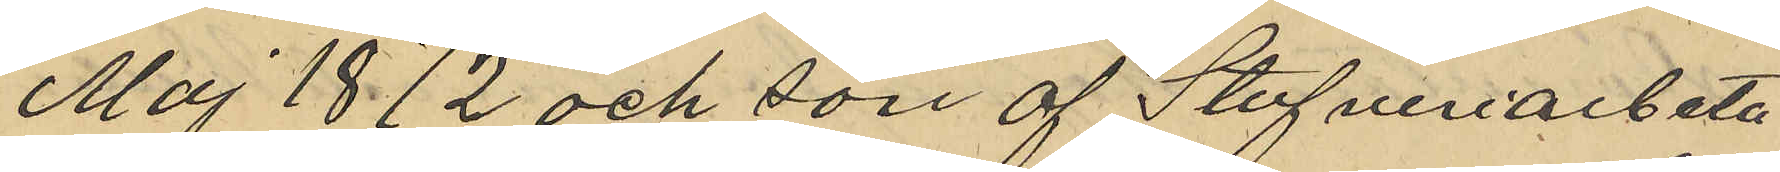Maj 1872 och son af Stufveriarbeta¬
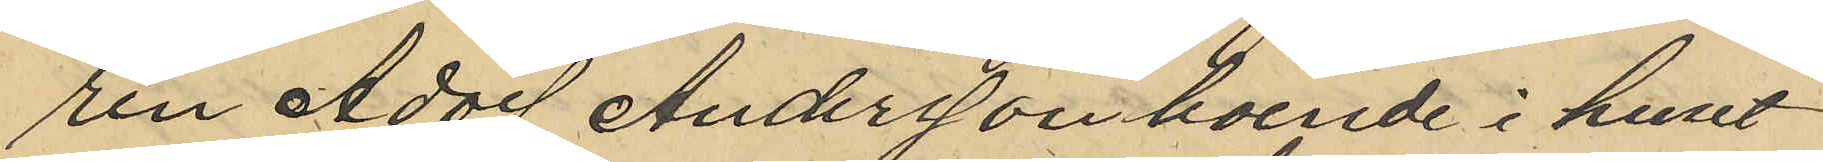ren Adolf Andersson boende i huset
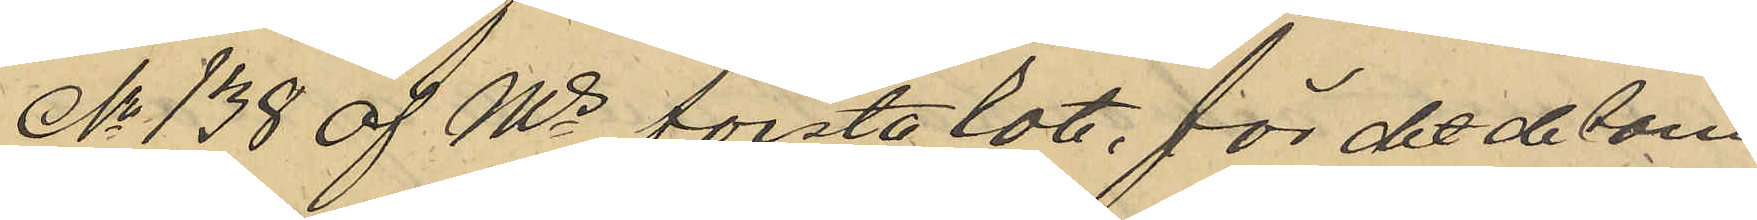No 138 af Ms första Rote, för det de sam¬
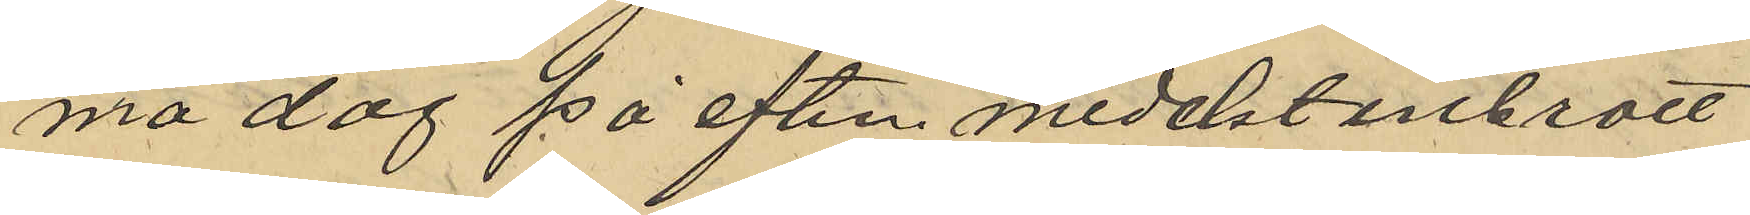ma dag på eftm medelst inbrott
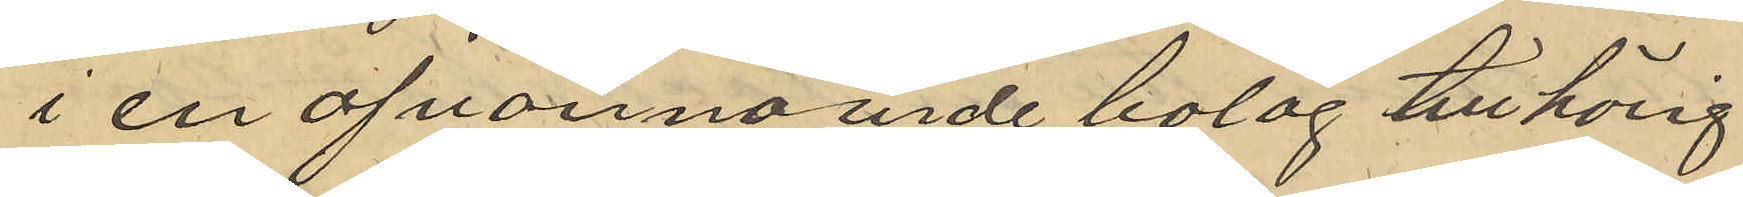i en ofvannämnde bolag tillhörig
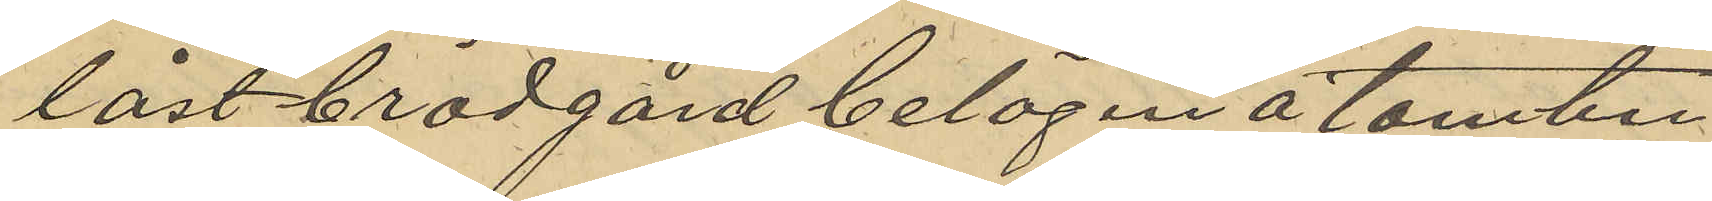låst brädgård belägen å tomten
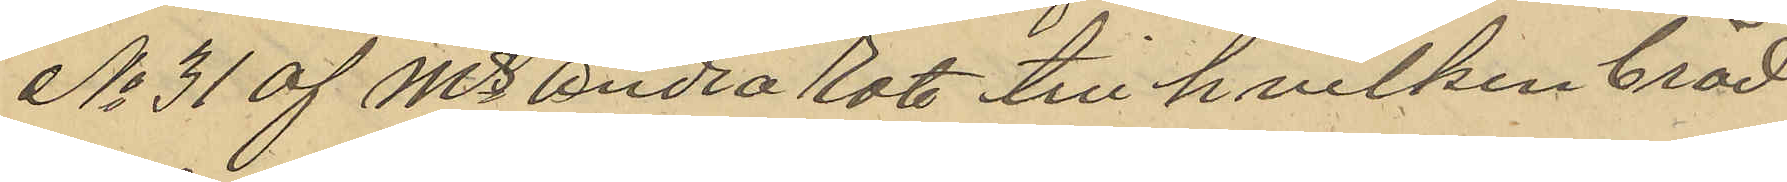No 31 af Ms Andra Rote till hvilken bräd
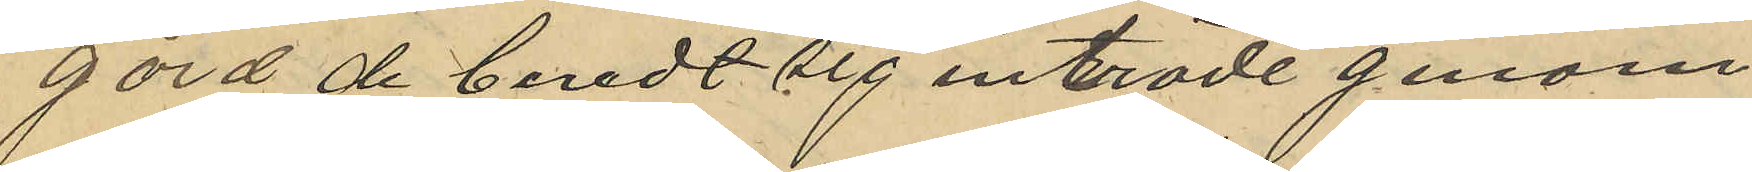gård de beredt sig inträde genom
